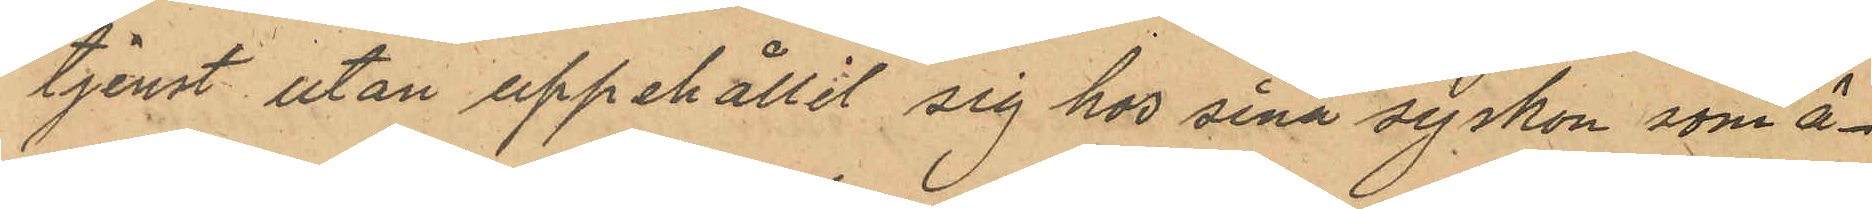tjenst utan uppehållit sig hos sina syskon som ä¬
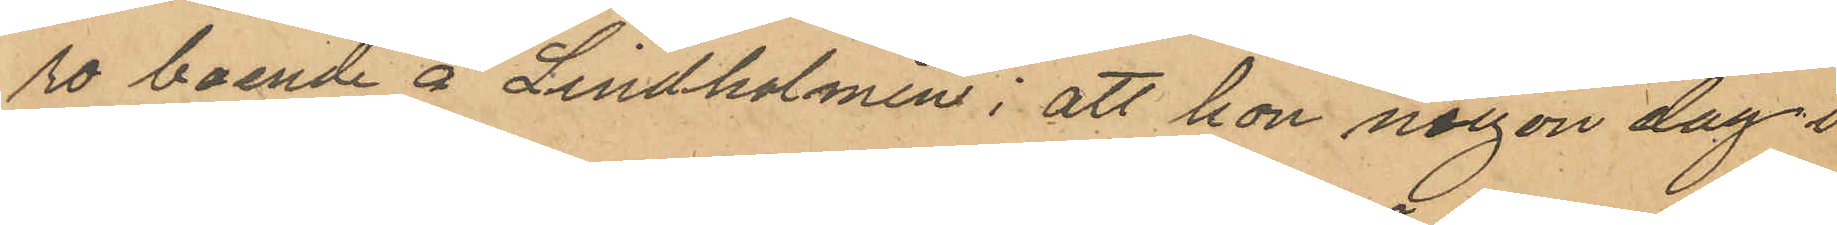ro boende å Lindholmen; att hon någon dag i
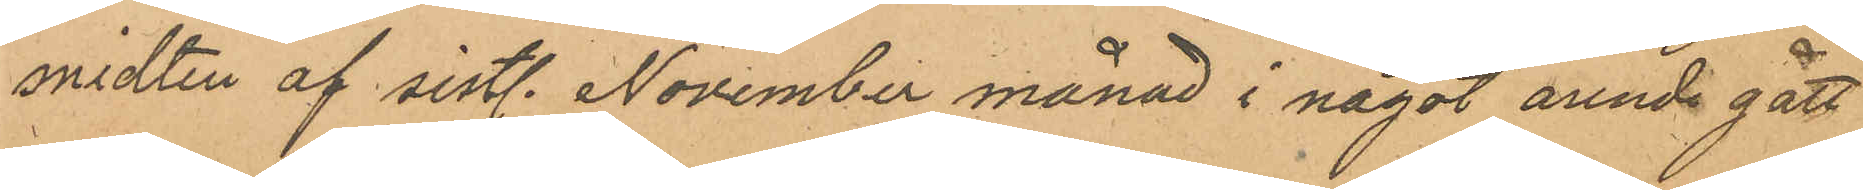midten af sistl. November månad i något arende gått
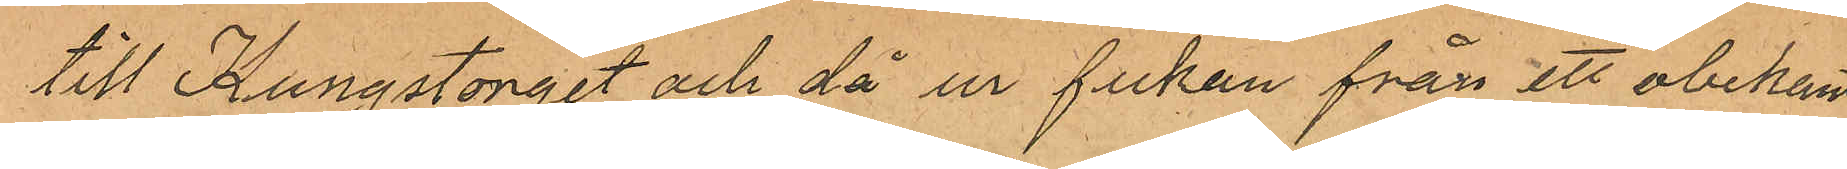till Kungstorget och då ur fickan från ett obekant
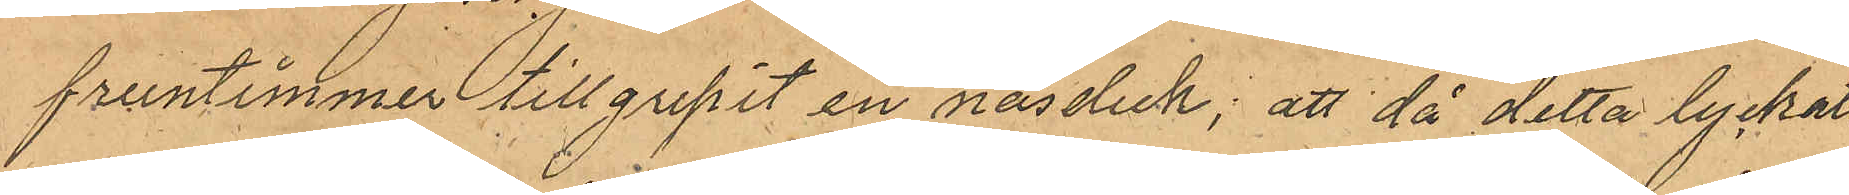fruntimmer tillgripit en näsduk; att då detta lyckats
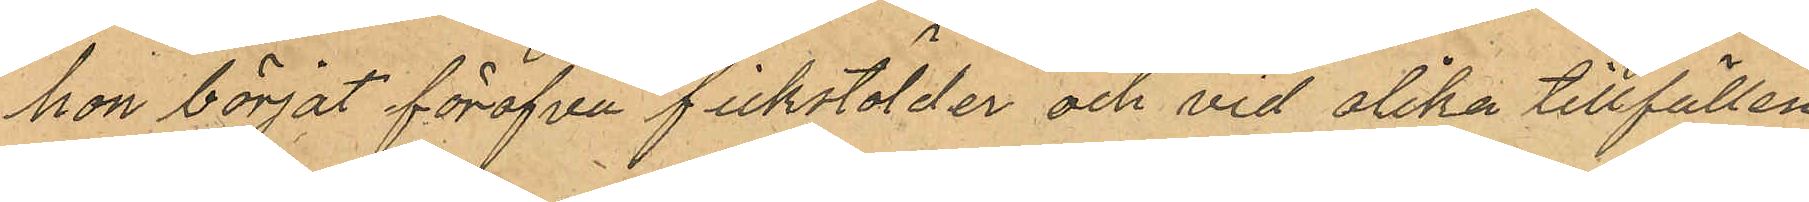hon börja föröfva fickstölder och vid olika tillfällen
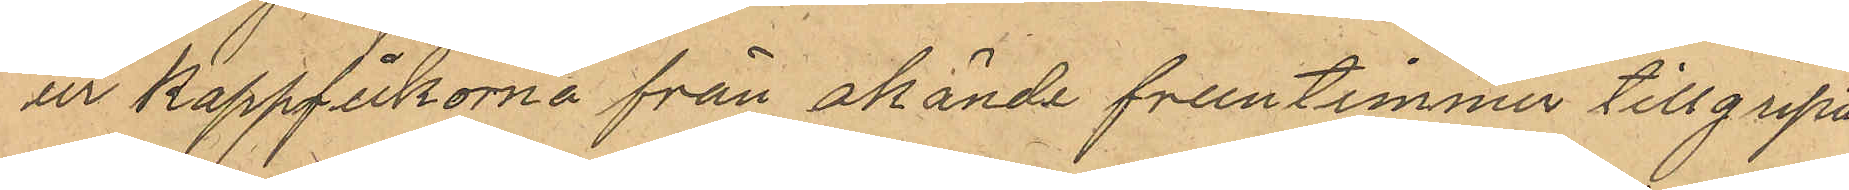ur kappfickorna från okända fruntimmer tillgripit
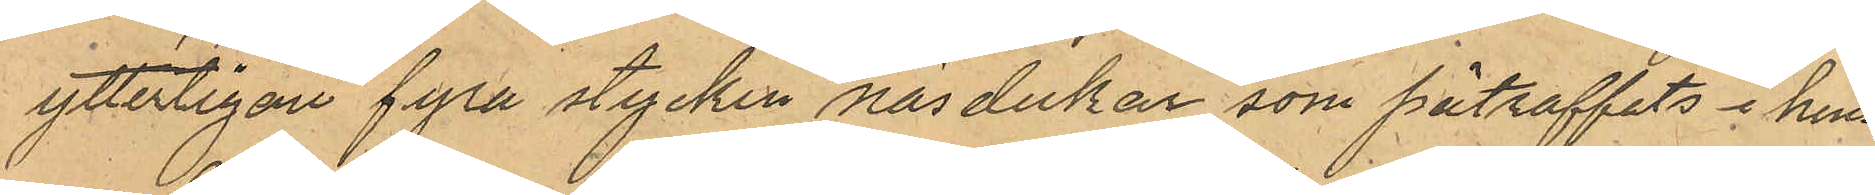ytterligare fyra stycken näsdukar som påtraffats i hen¬
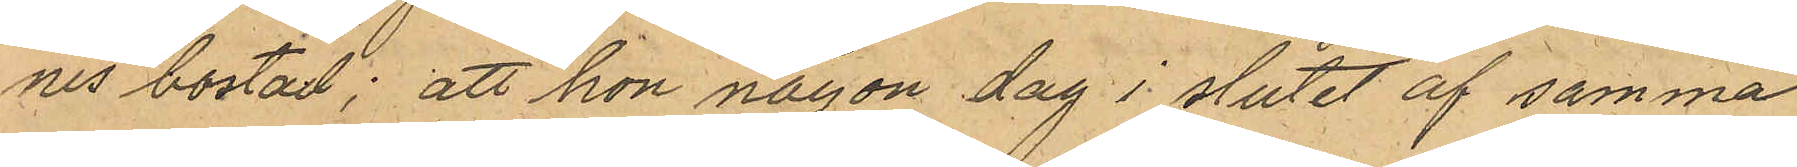nes bostad; att hon någon dag i slutet af samma
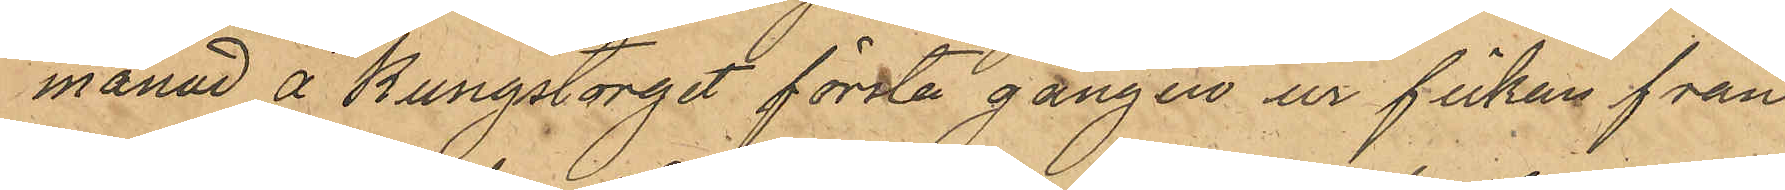månad å Kungstorget första gången ur fickan från
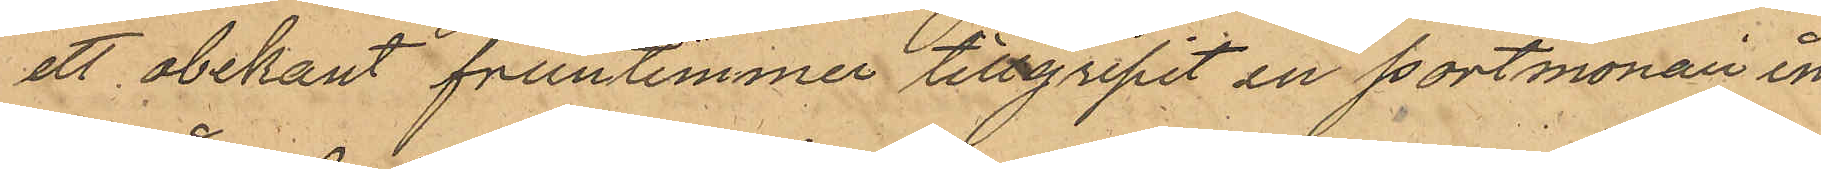ett obekant fruntimmer tillgripit en portmonaie in
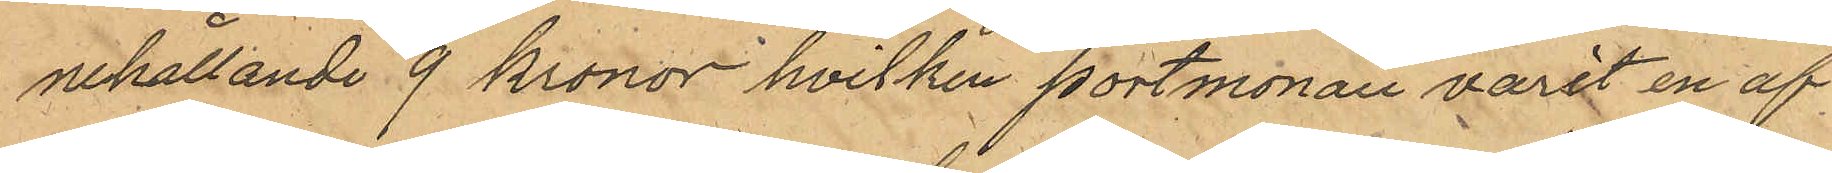nehållande 9 kronor hvilken portmonaie varit en af 
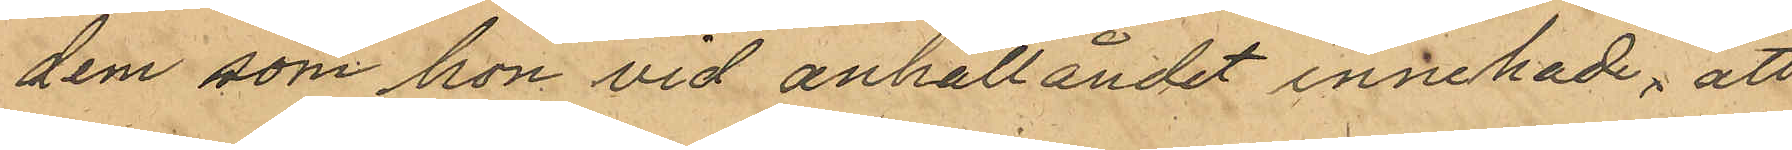dem som hon vid anhallåndet innehade, att
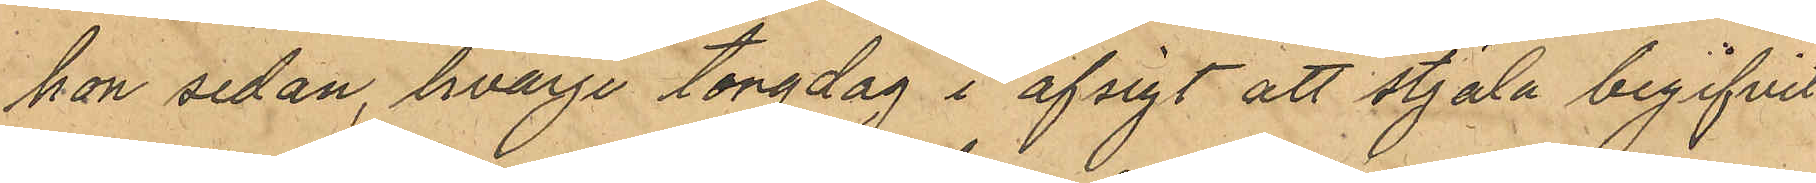hon sedan, hvarje torgdag i afsigt att stjala begifvit
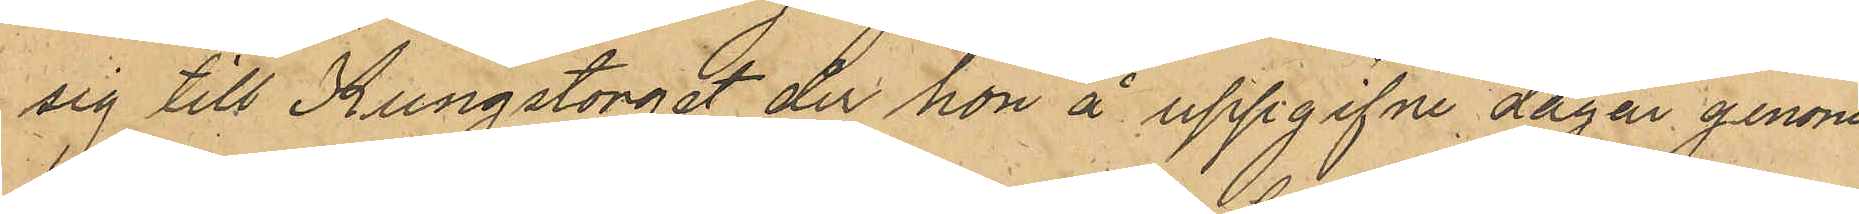sig till Kungstorget der hon å uppgifne dagar genom
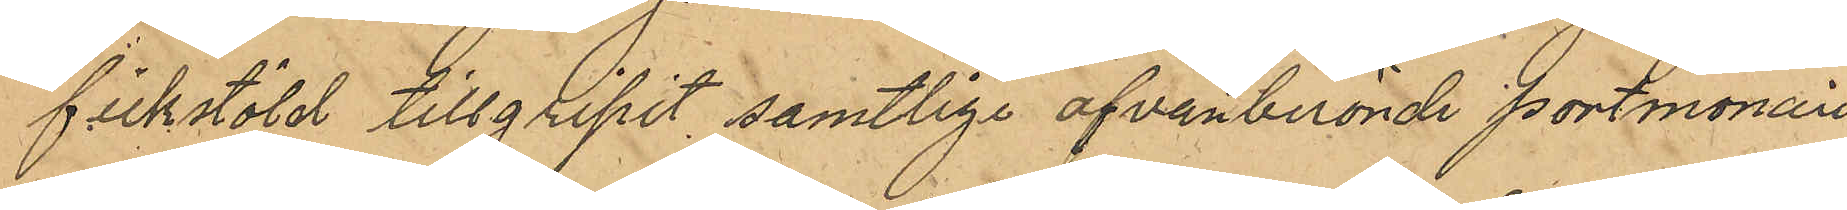fickstöld tillgripit samtlige ofvanberörde portmonaier
